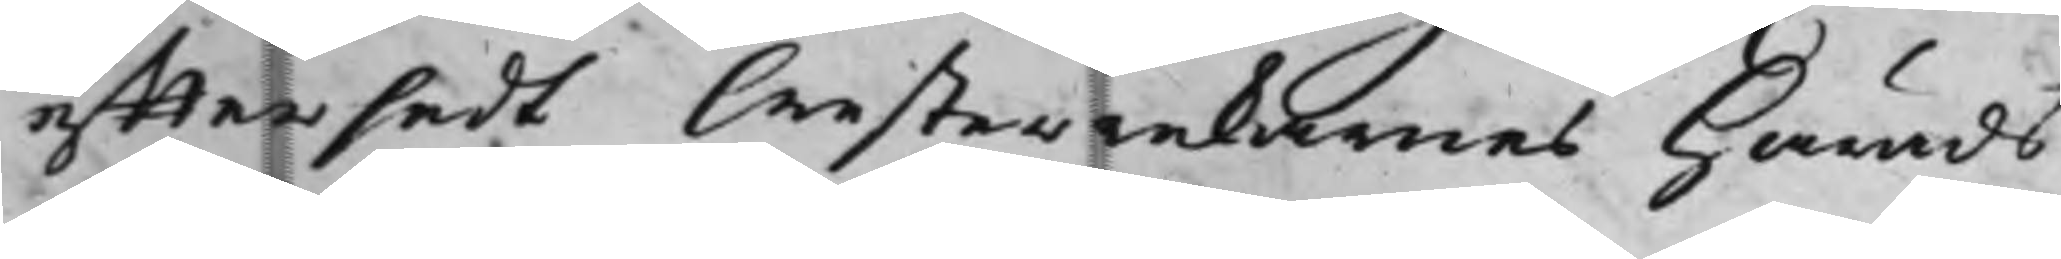efftersedt Westerrekarnes Härads¬
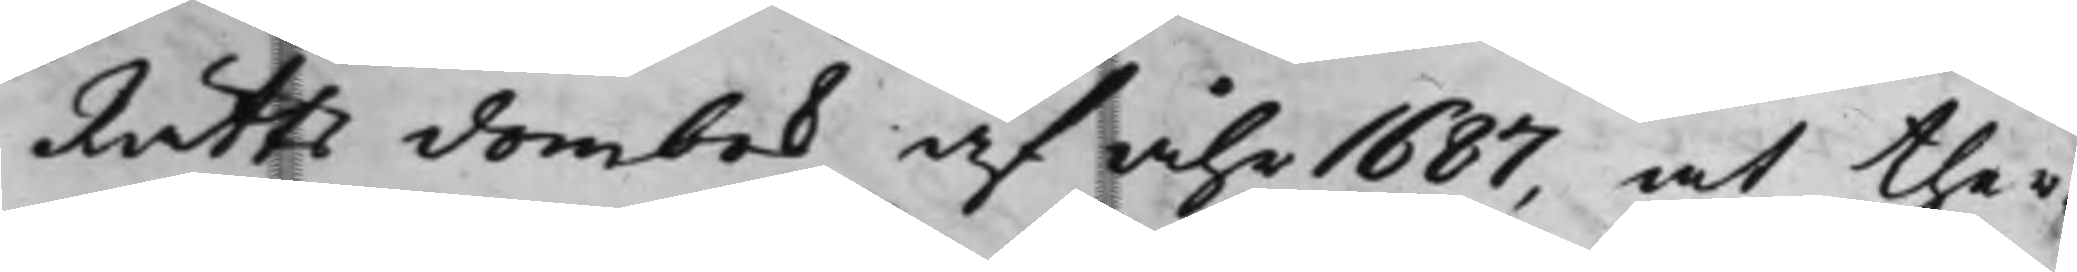Rätts dombok af åhr 1687, at ther¬
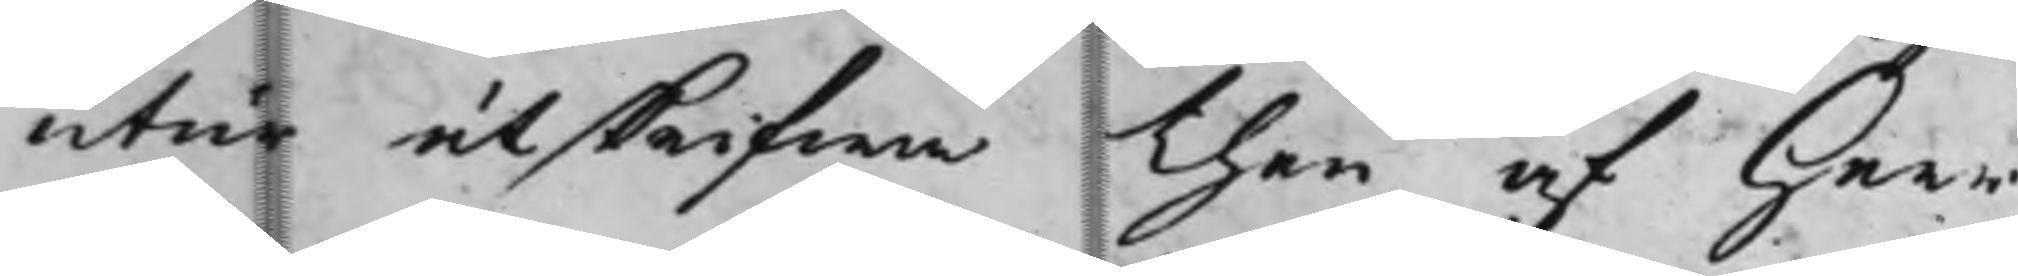utur utskrifwa then af Herr
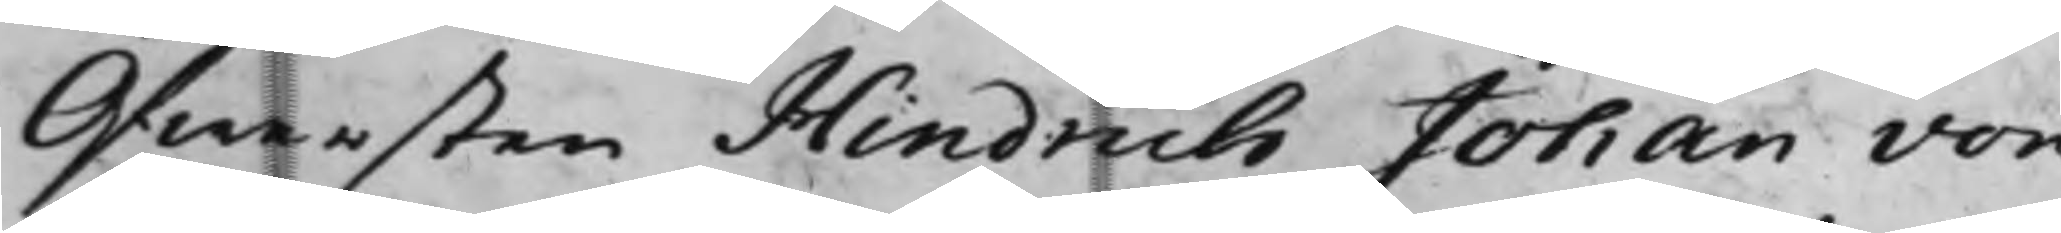Öfwersten Hindrich Johan von
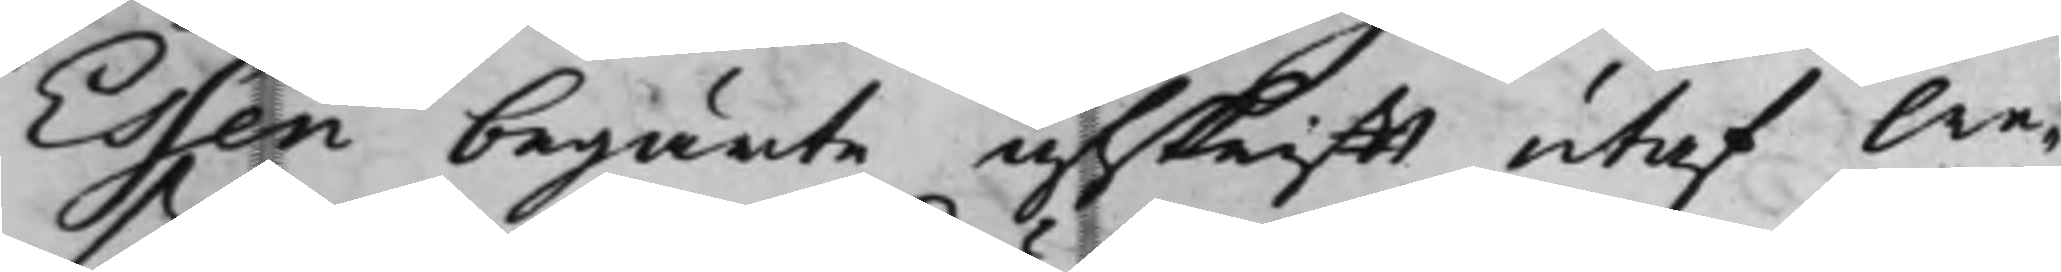Essen begärte afskrifft utaf We¬
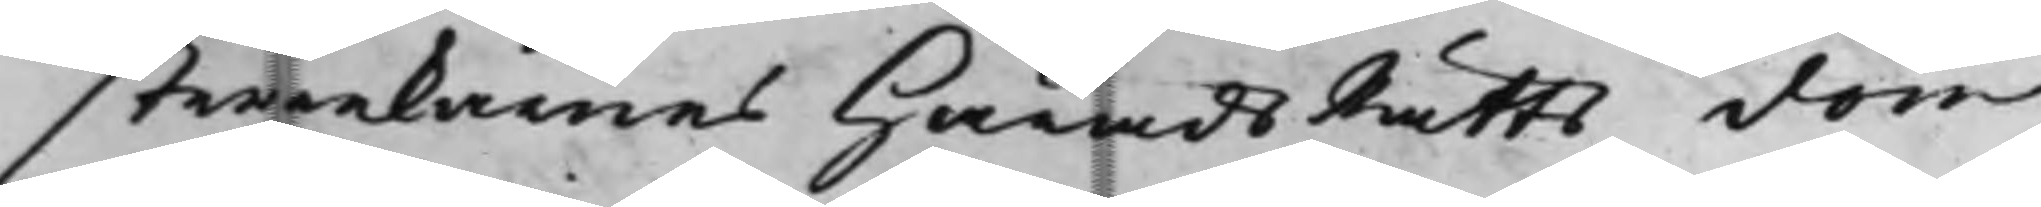sterrekarnes HäradsRätts dom
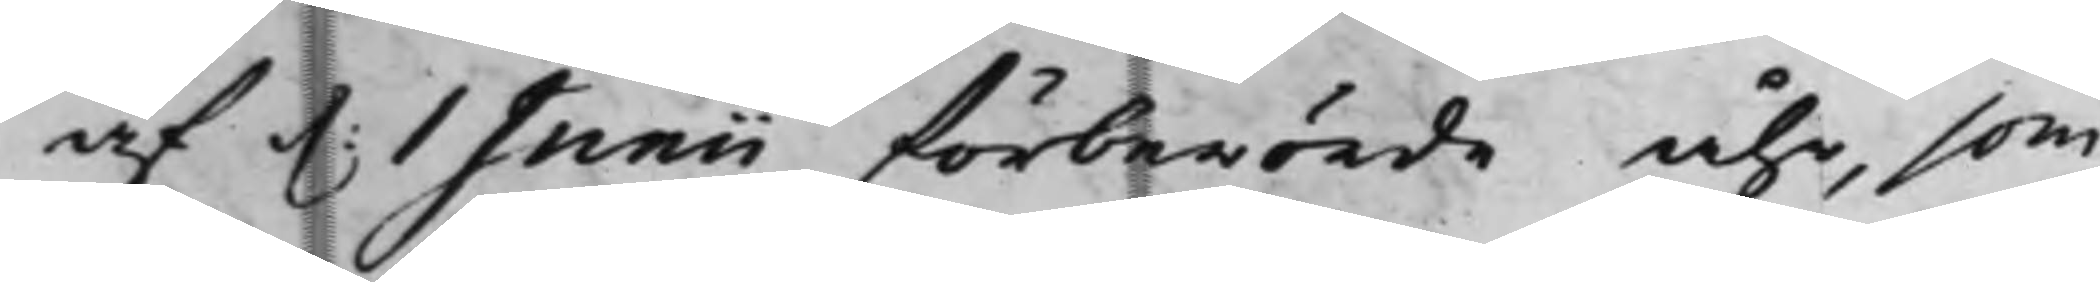af d. 1 Junii förberörde åhr, som
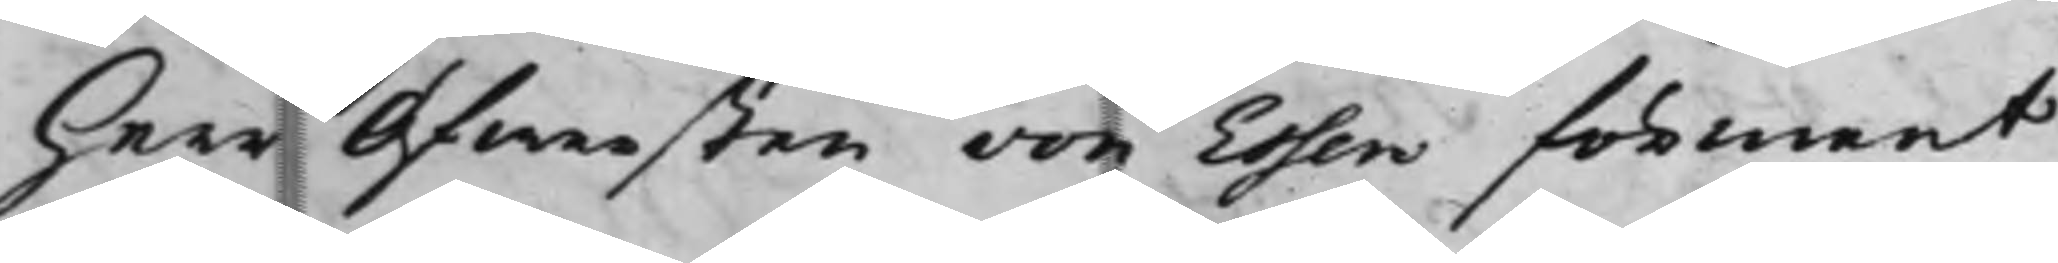Herr Öfwersten von Essens förment
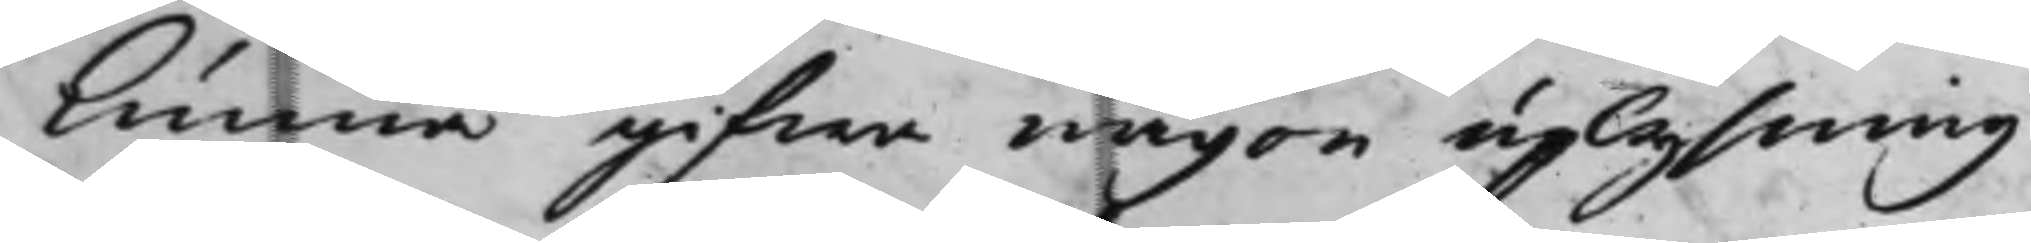kunna gifwa någon uplysning
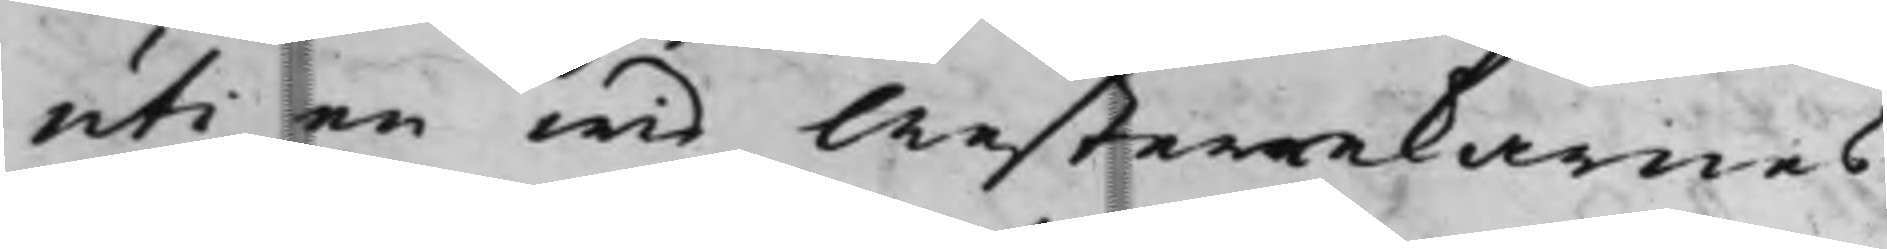uti en wid Westerrekarnes
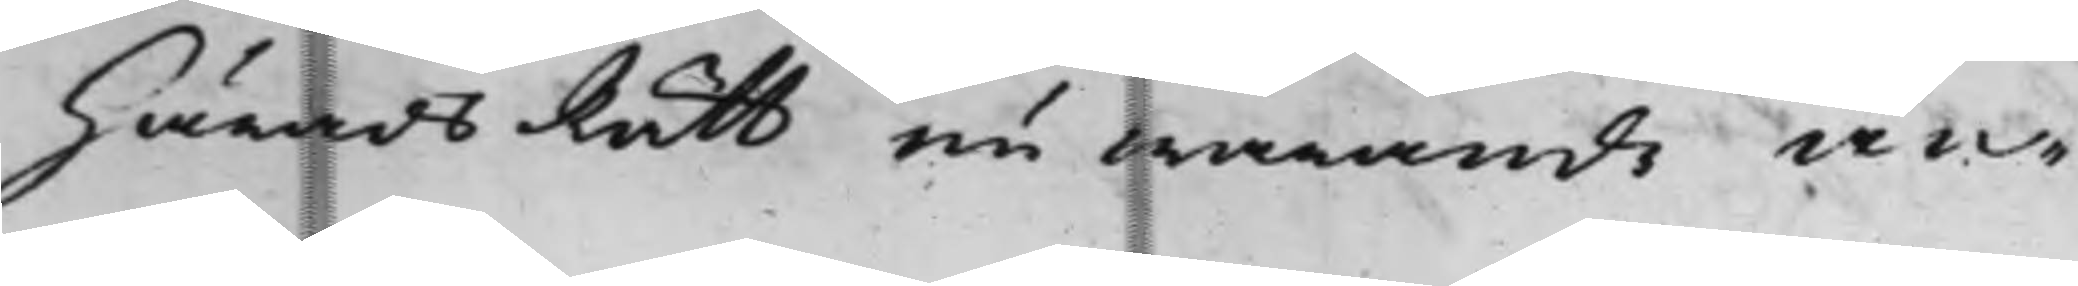HäradsRätt nu warande an¬
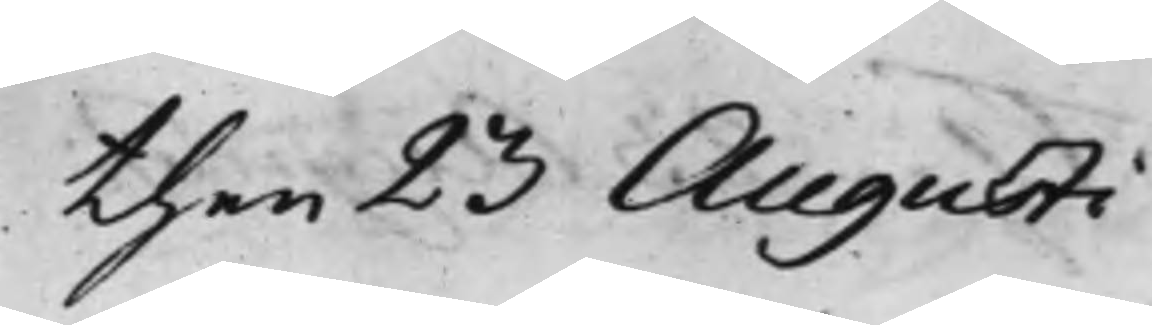then 23 Augusti
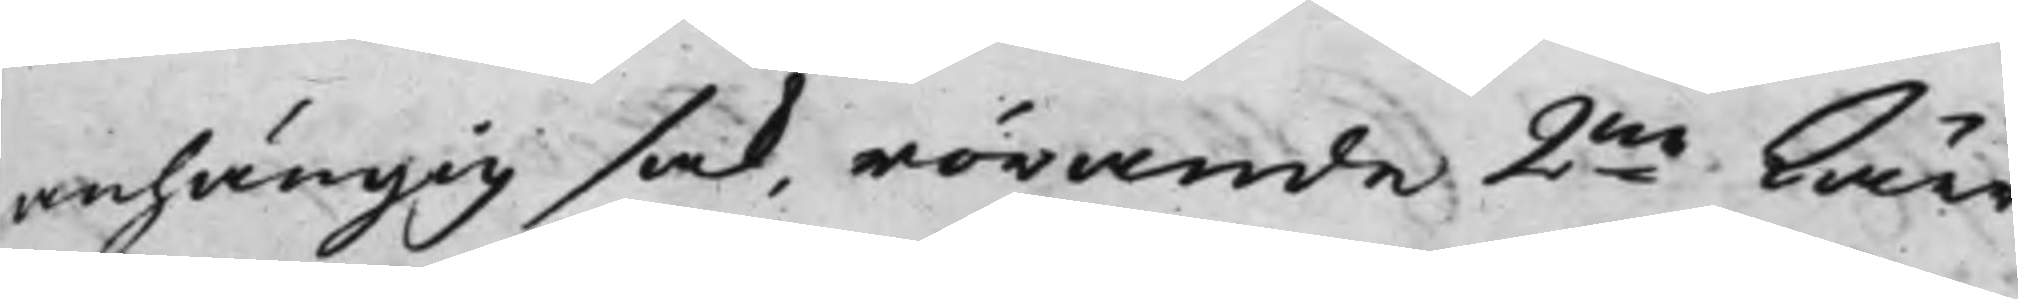anhängig sak, rörande 2ne kärr
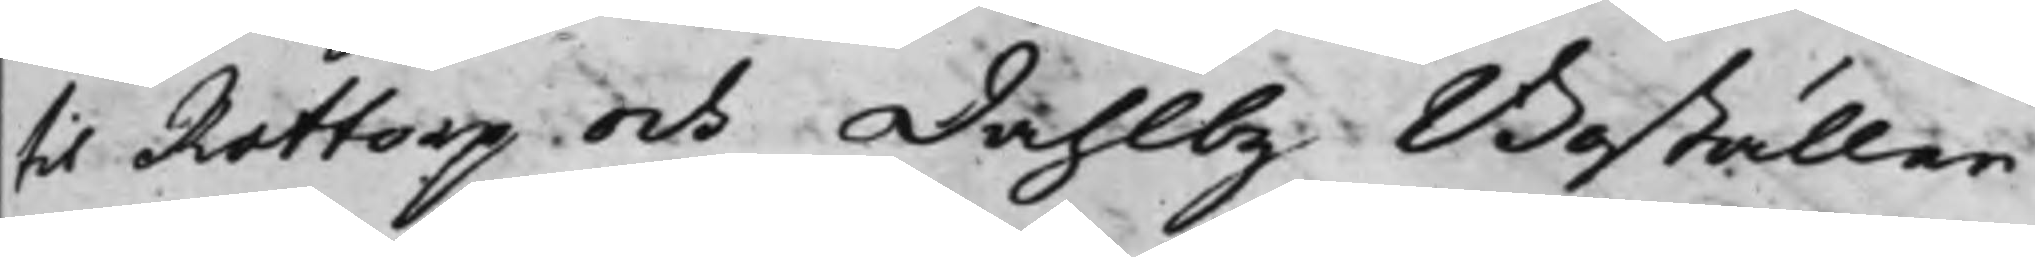til Rottorp och Dahlby Boställen
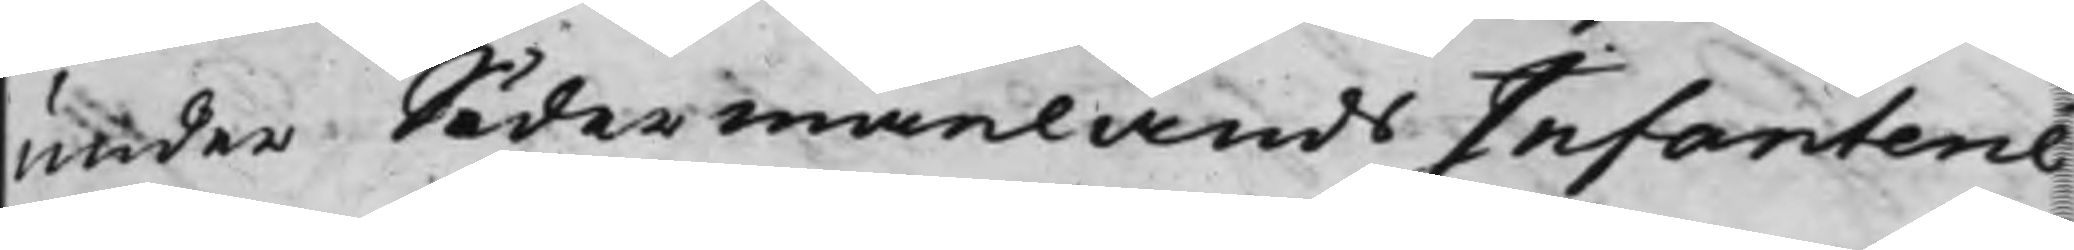under Södermanlands Infanterie¬
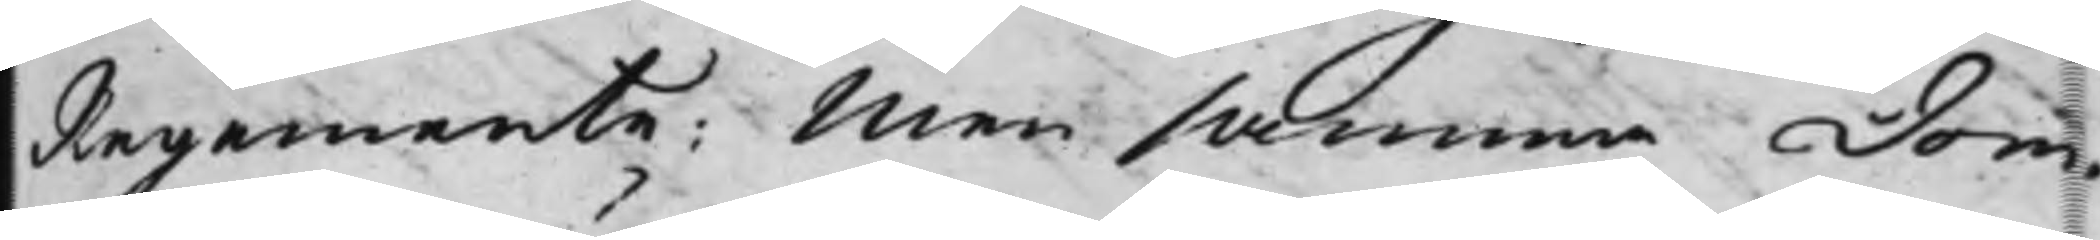Regemente; Men samma Dom¬
